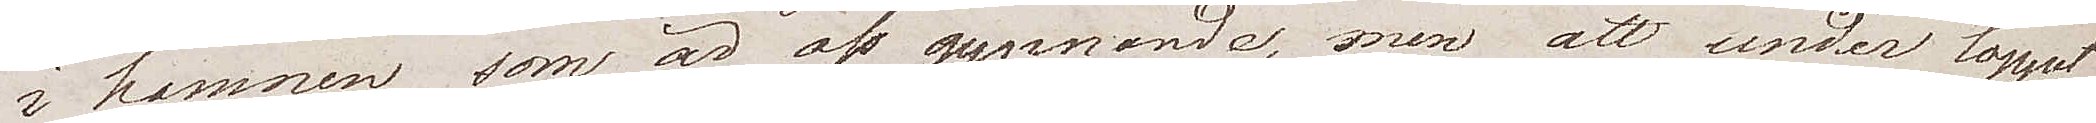i hamnen som är oss gynnande, men att under loppet
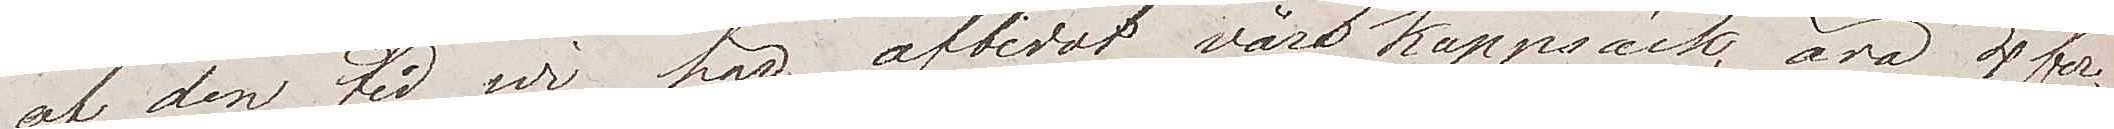af den tid wi har afbidat vår kappsäck, äro 4 far¬
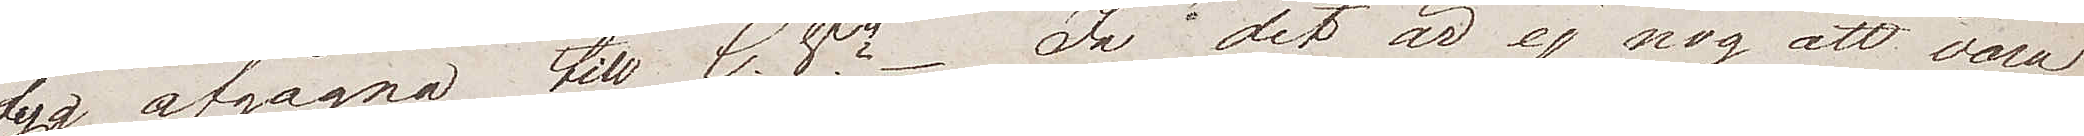tyg afgågna till C.Va. Ja "det är ej nog att vara
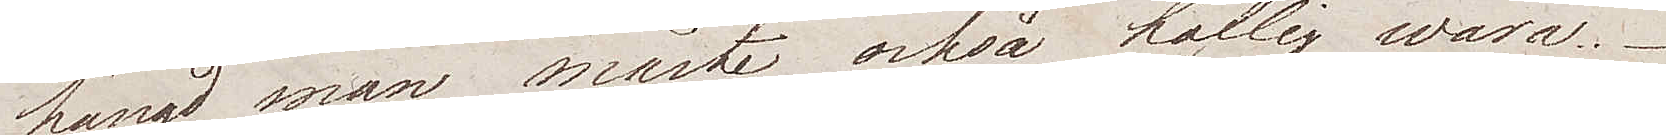hängd man måste också höflig wara".
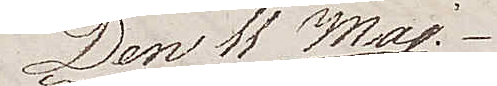Den 11 Maj.
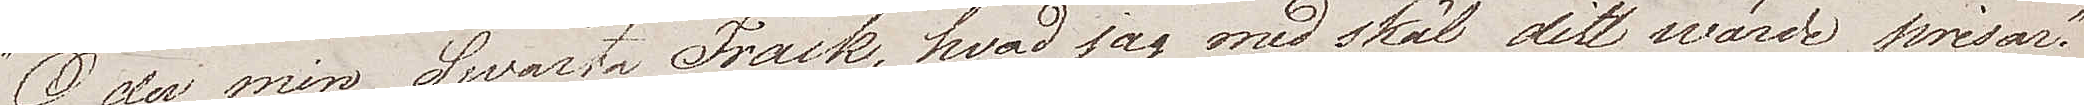"O du min Swarta Frack, hvad jag med skäl ditt wärde prisar".
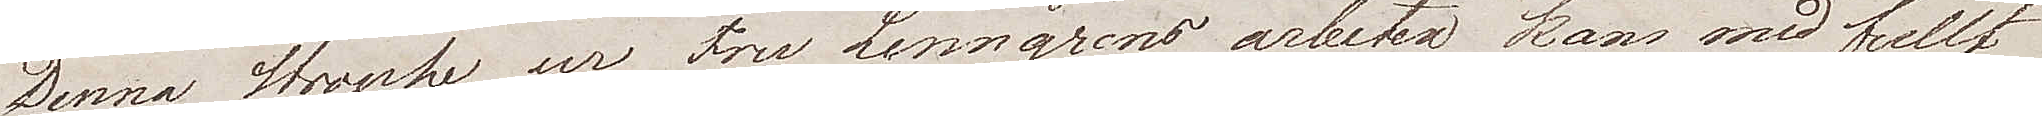Denna strophe ur Fru Lenngrens arbeten kan med fullt 
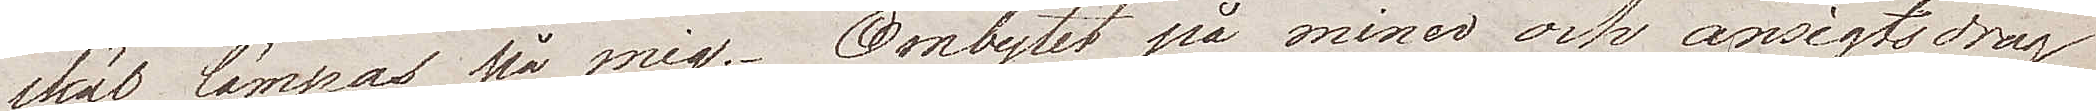skäl lämpas på mig. Ombytet på miner och ansigtsdrag
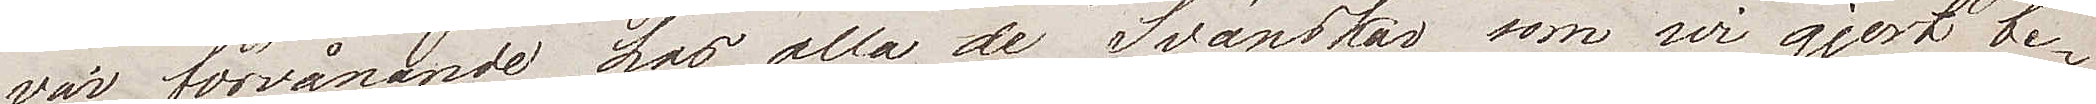var förvånande hos alla de Svänskar som wi gjort be¬
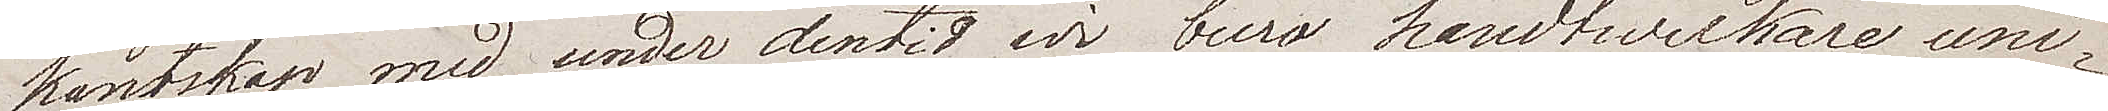kantskap med under den tid wi buro handtverkare uni¬
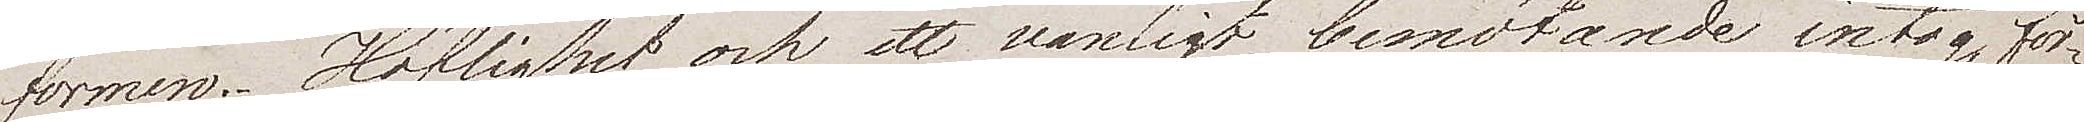formen. Höflighet och ett vänligt bemötande intog för¬
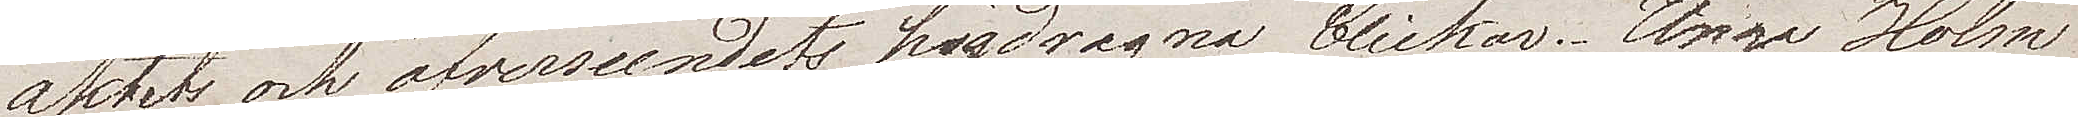aktet och öfverseendets högdragna blickar. Unge Holm
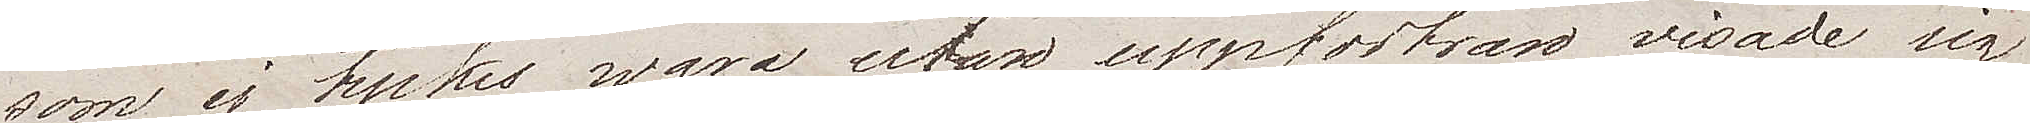som ej tyckes wara utan uppfostran visade sig
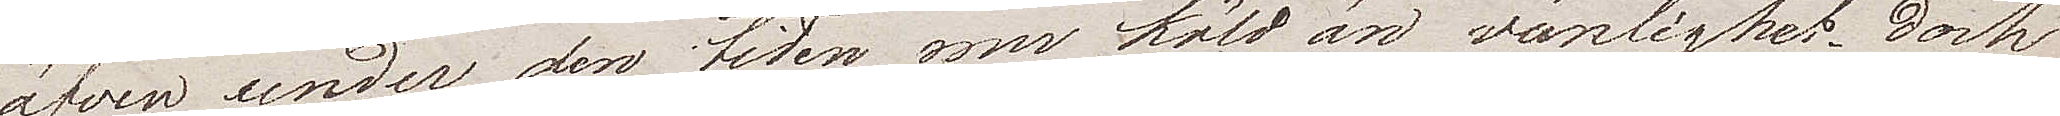äfven under den tiden mer köld än vänlighet. Dock
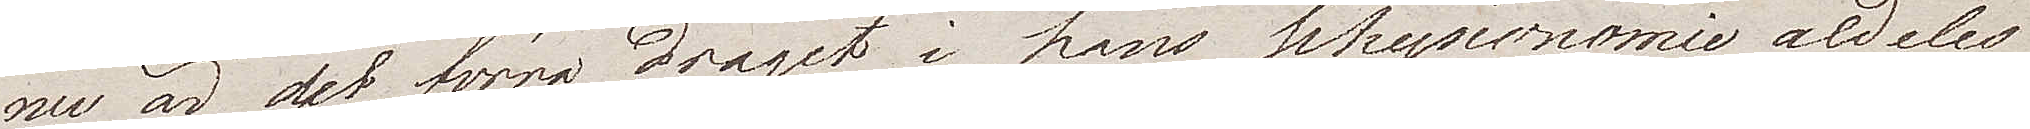nu är det förra draget i hans physionomie aldeles
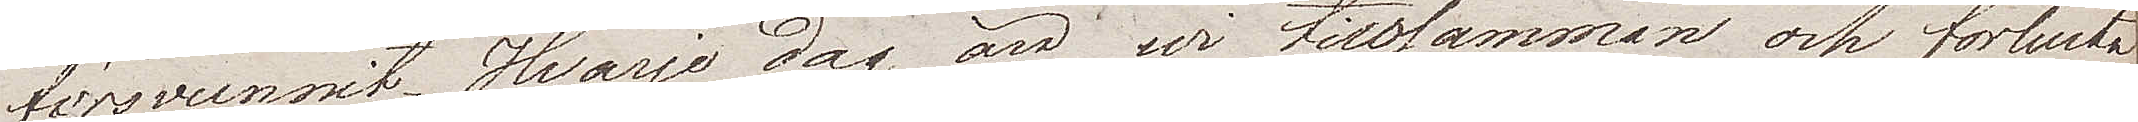försvunnit. Hvarje dag är vi tillsammans och förlusta
